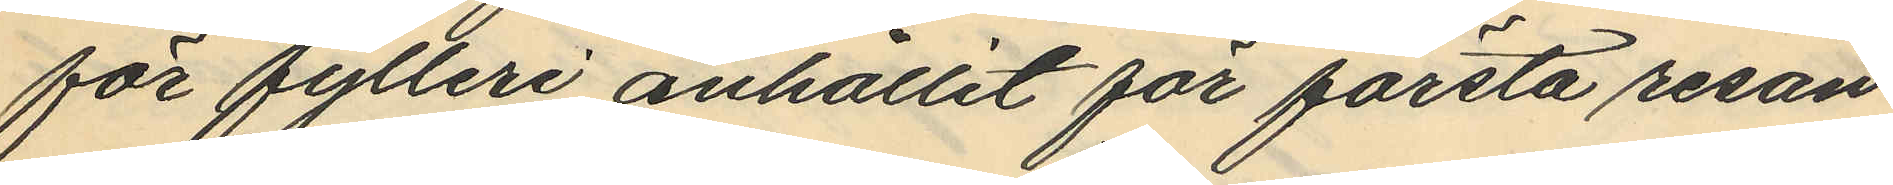för fylleri anhållit för första resan
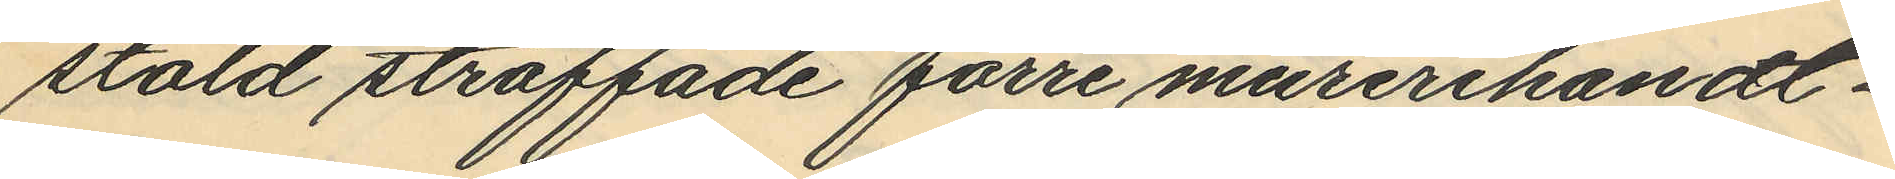stöld straffade förre murerihandt¬
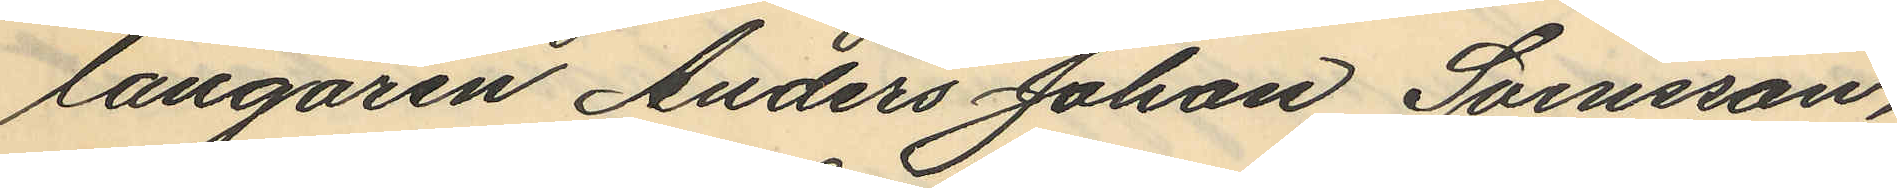langaren Anders Johan Svensson,
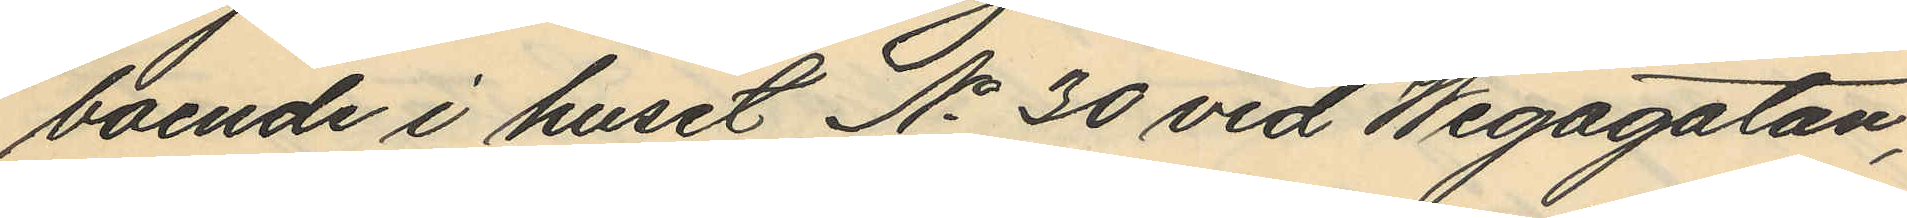boende i huset No 30 vid Wegagatan,
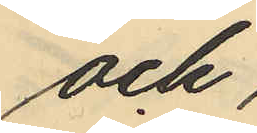och
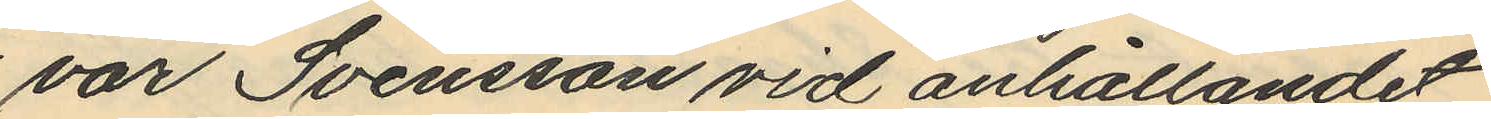var Svensson vid anhållandet
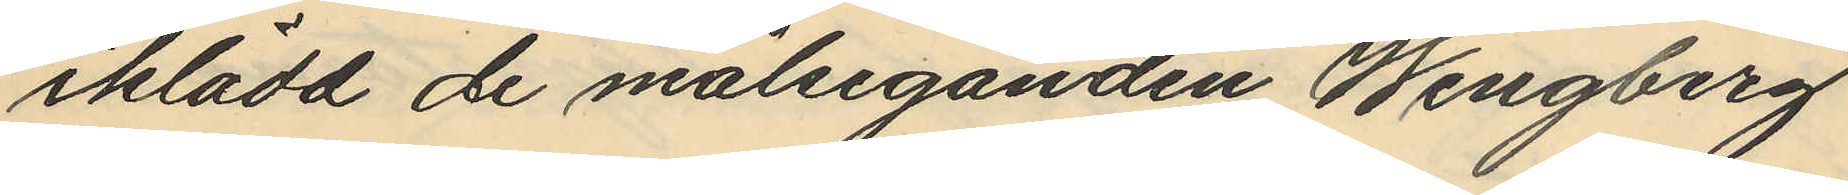iklädd de målseganden Wingberg
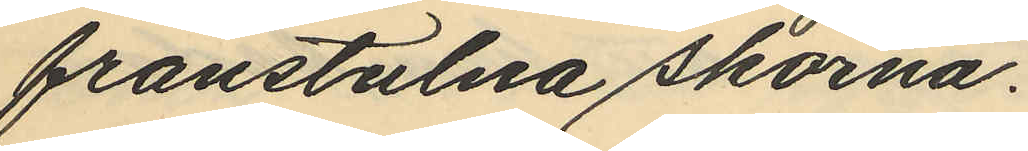frånstulna skorna.
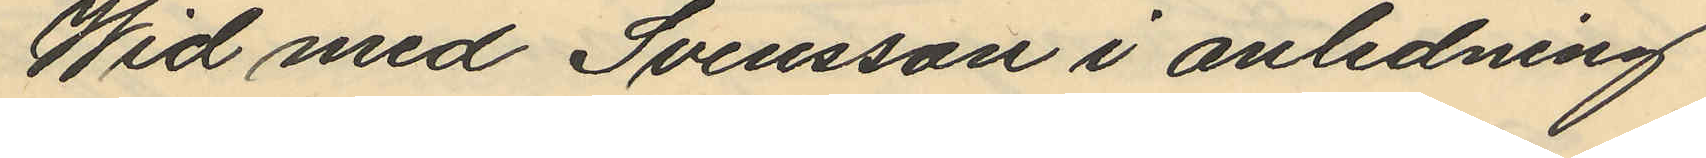Wid med Svensson i anledning
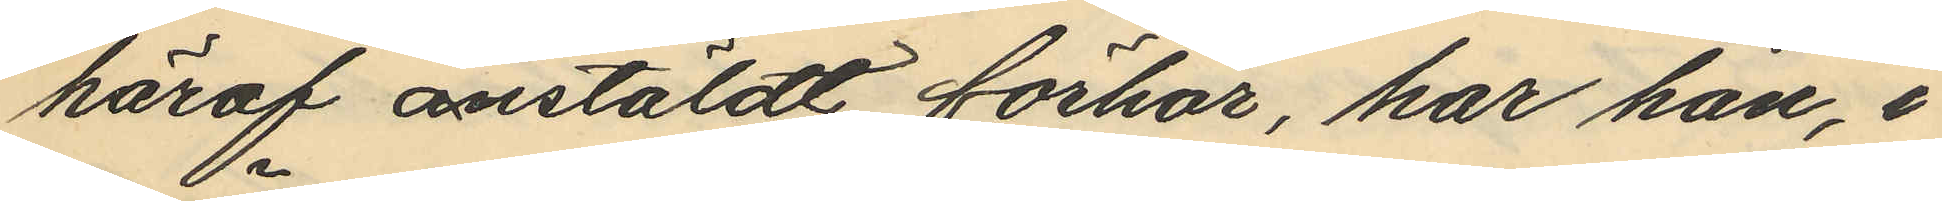häraf anstäldt förhör, har han, i
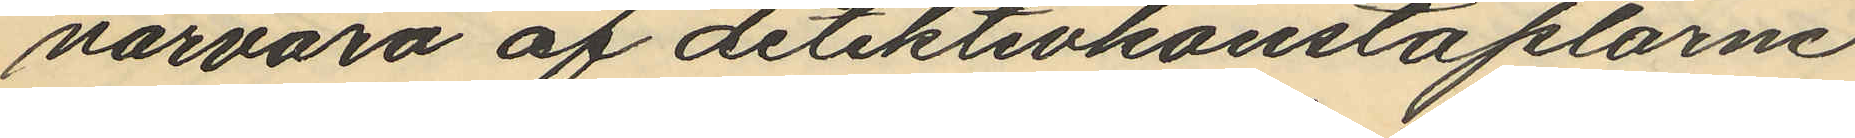närvaro af detektivkonstaplarne
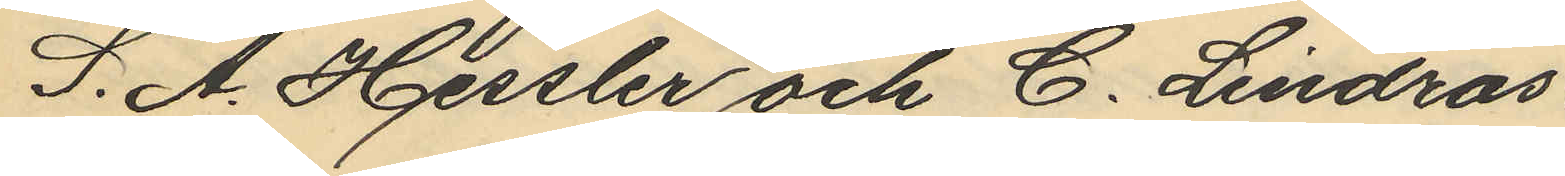S. A. Hessler och C. Lindros
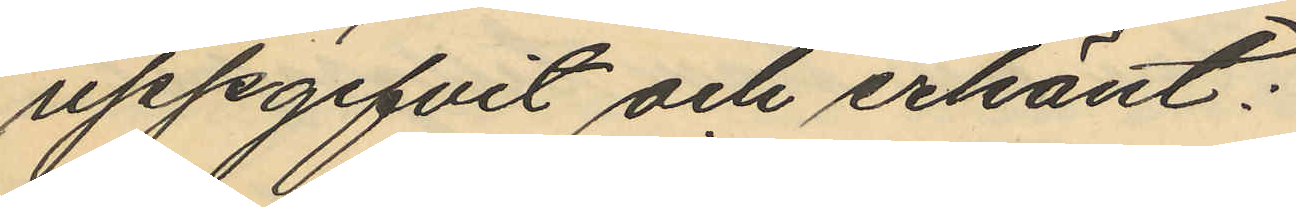uppgifvit och erkänt:
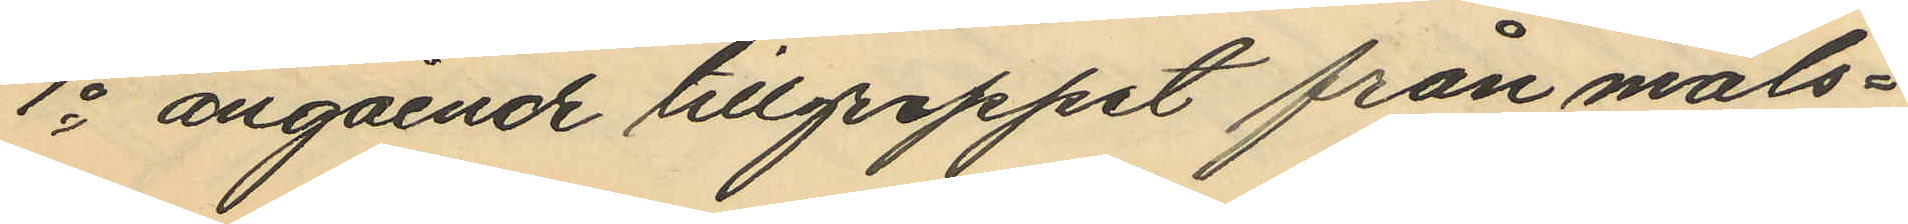1o angående tillgreppet från måls¬
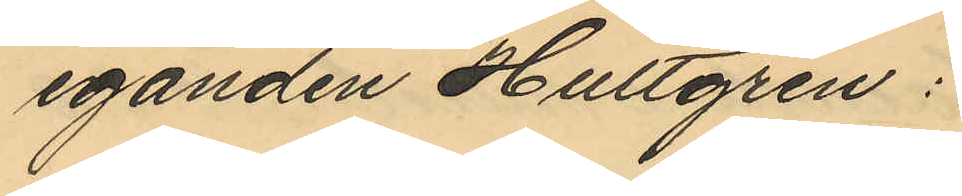eganden Hultgren:
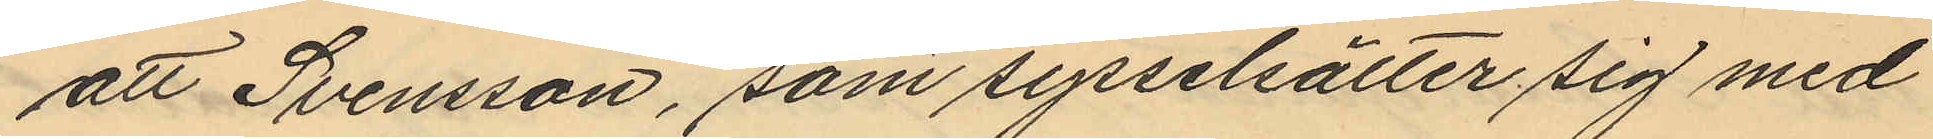att Svensson, som sysselsätter sig med
